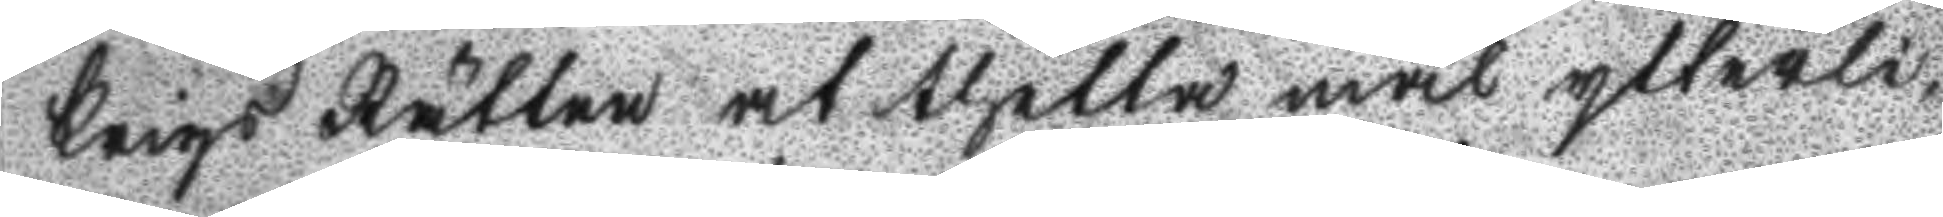Krigs Rätten at thetta mål ytterli¬
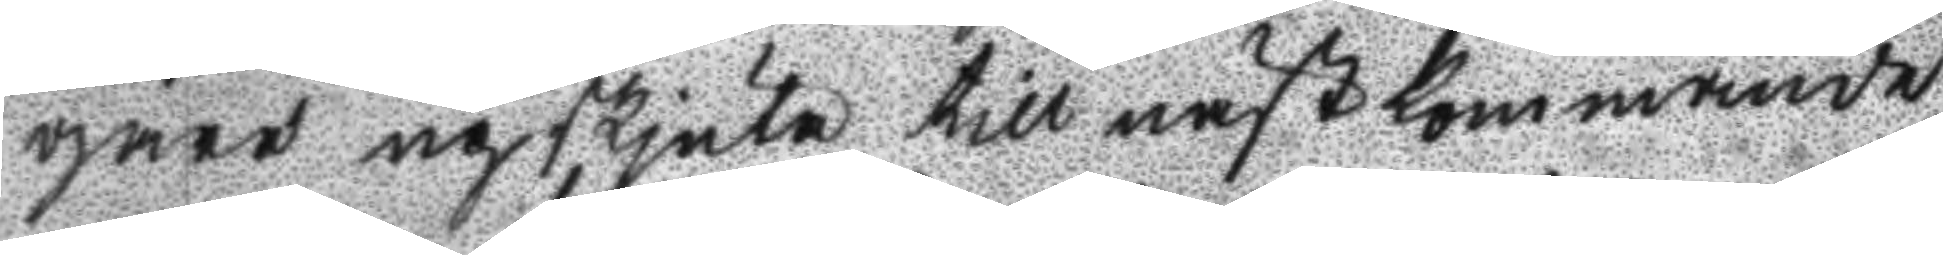gare upskjuta till nästkommande
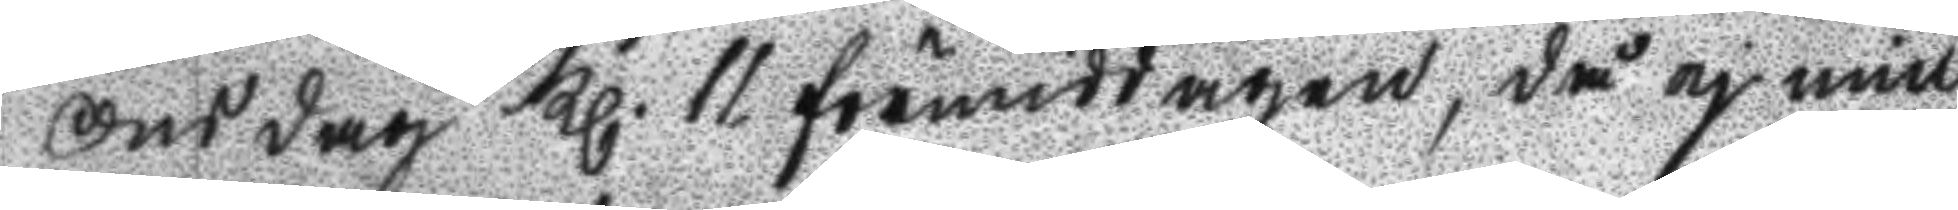onsdag Kl. 11 förmiddagen, då ej min
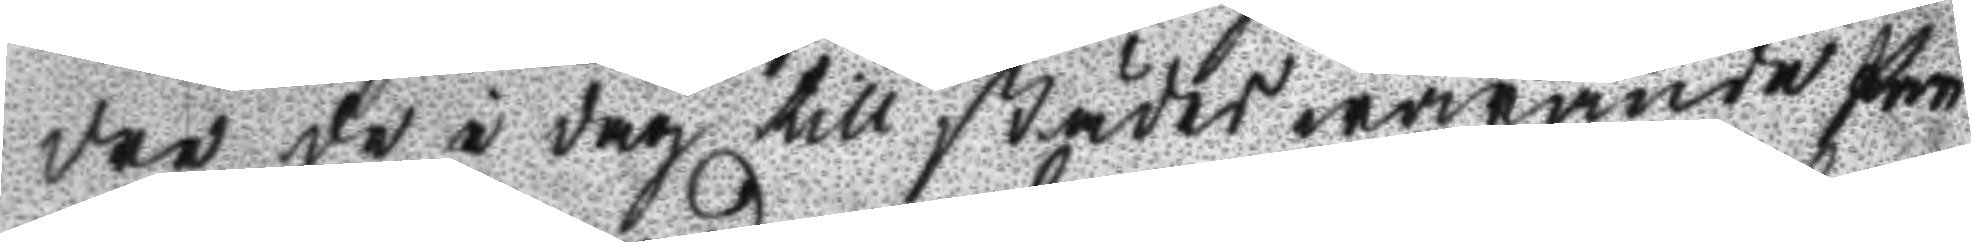dre de i dag till städes warande Par
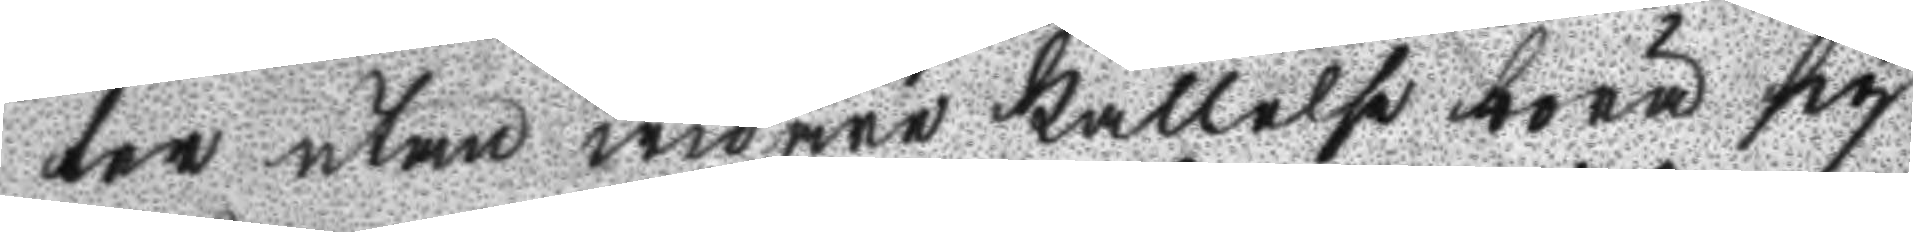ter utan widare kallelse böra sig
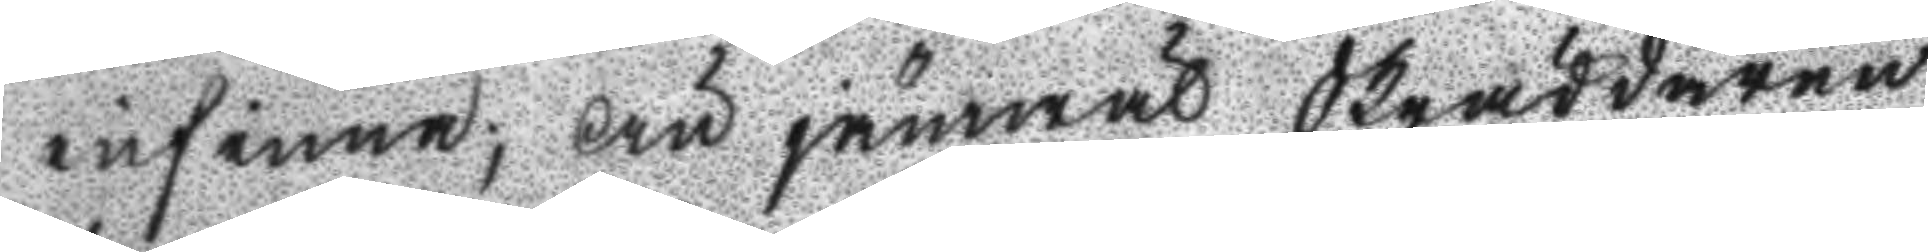infinna; Än jämwäl Skräddaren
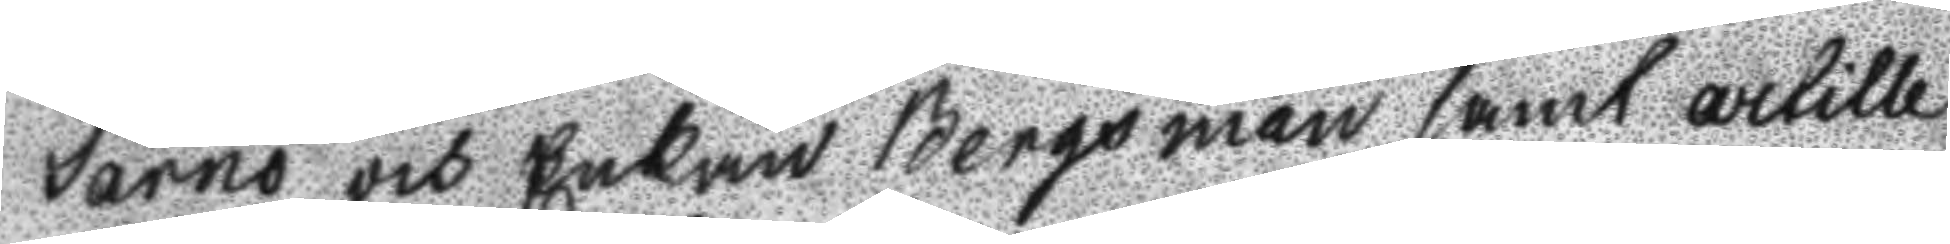Sarno och Enkan Bergsman samt artille
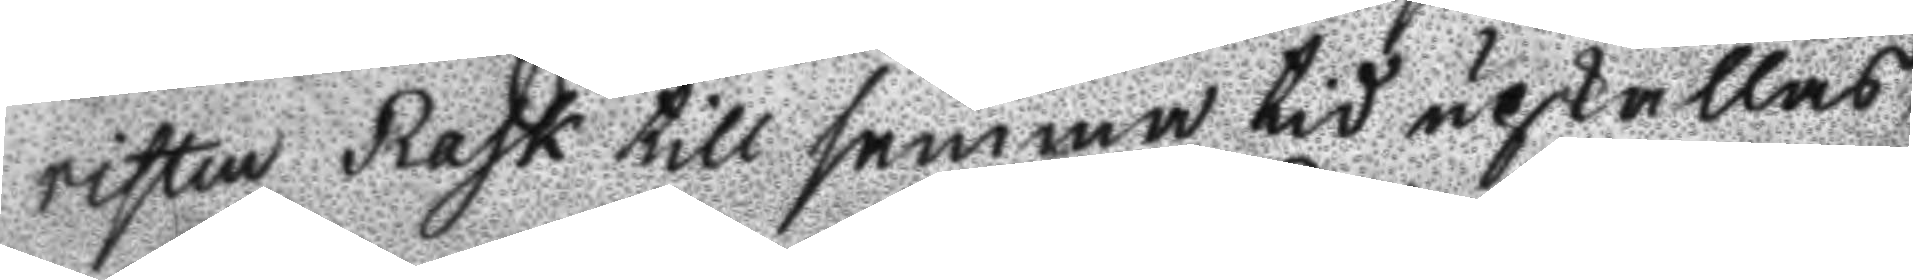risten Rask till samma tid upkallas,
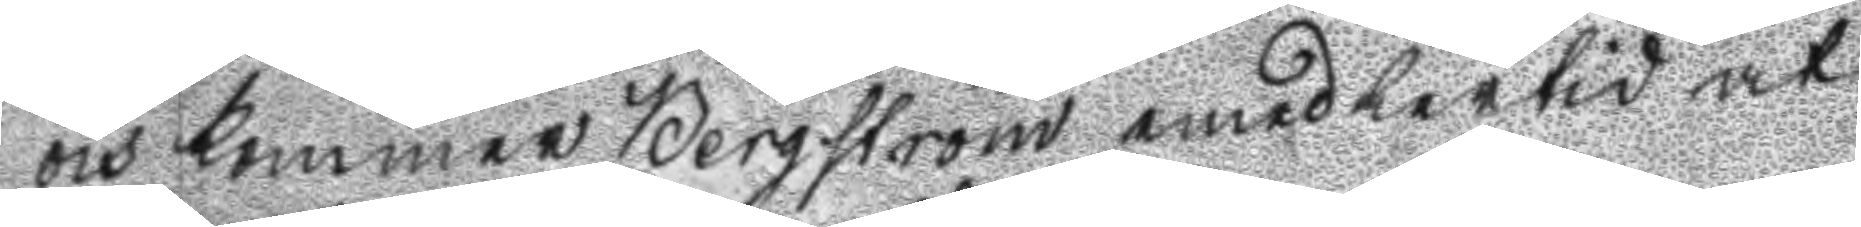och kommer Bergström emedlertid at
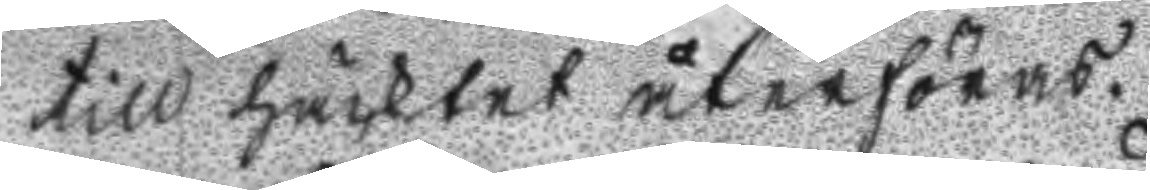till häcktet återföras.
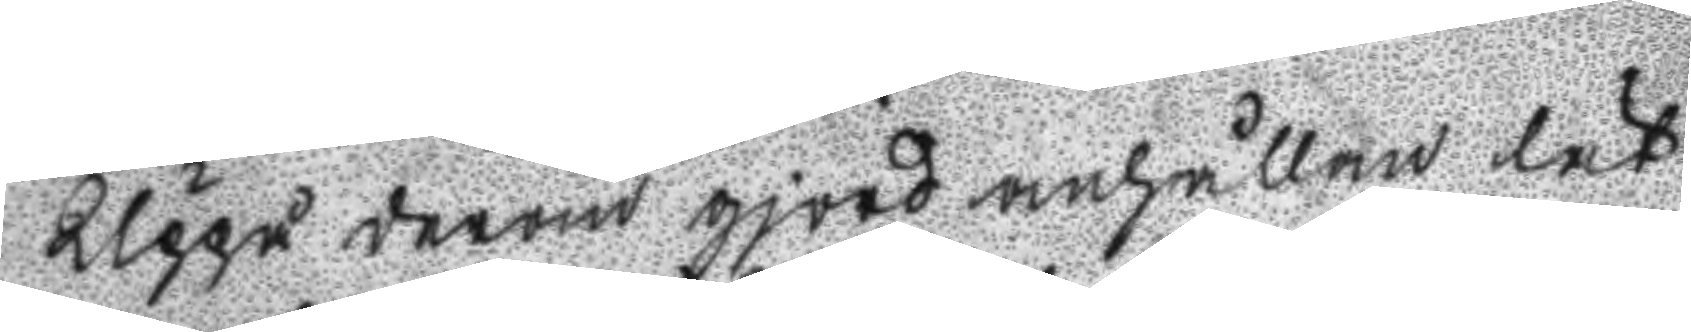Uppå derom gjord anhållan lät
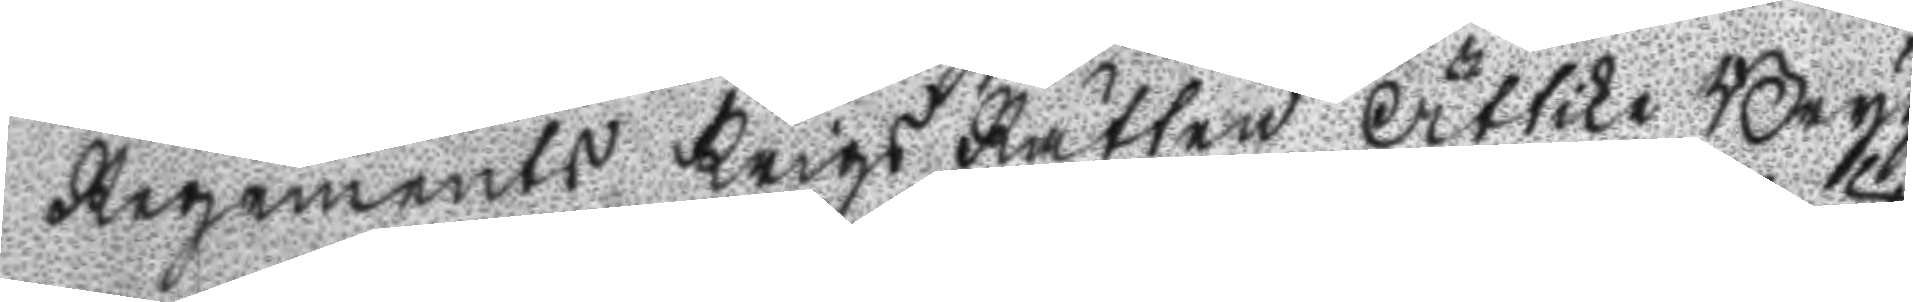Regements Krigs Rätten Ättika Bryg
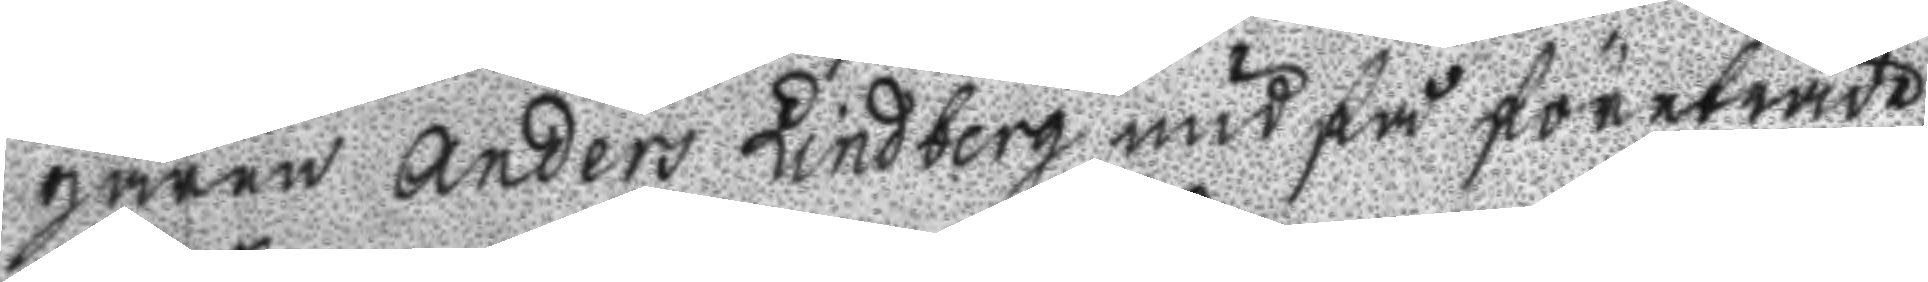garen Anders Lindberg undfå företräde
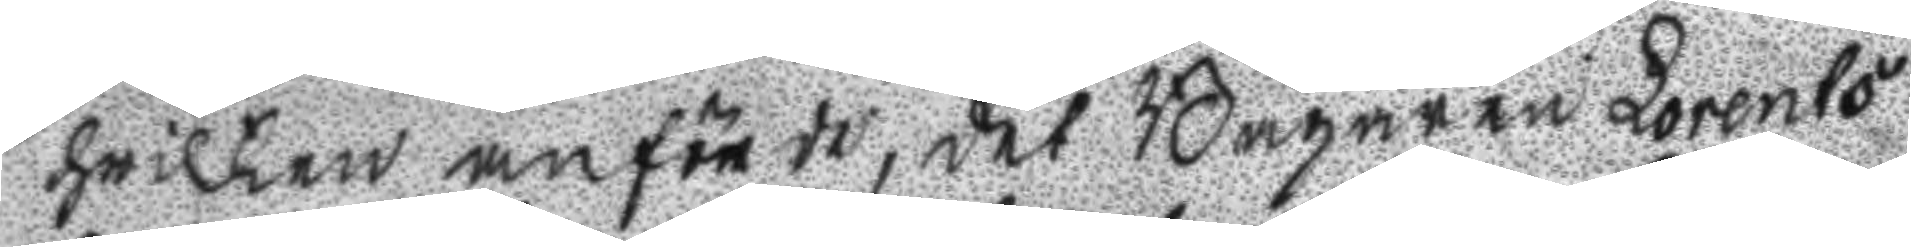hwilken anförde, det Bagaren Lorents
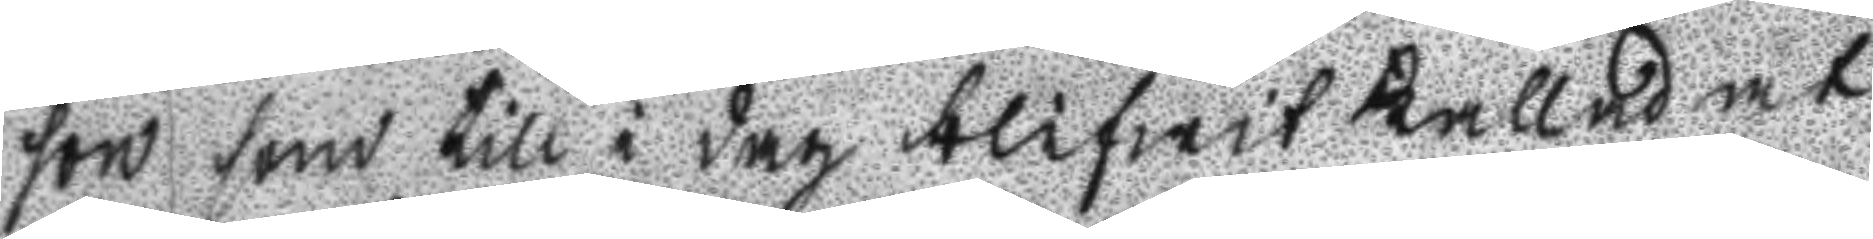son som till i dag blifwit kallad at
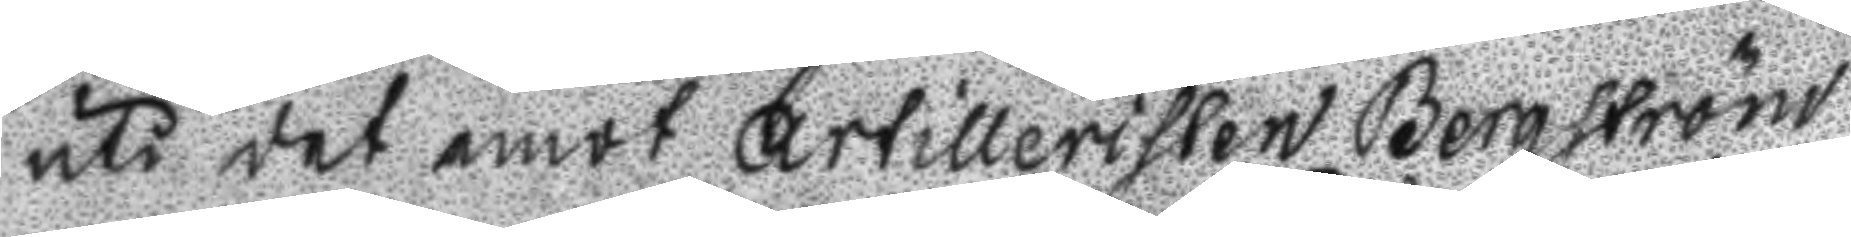uti det emot Artilleristen Bergström
